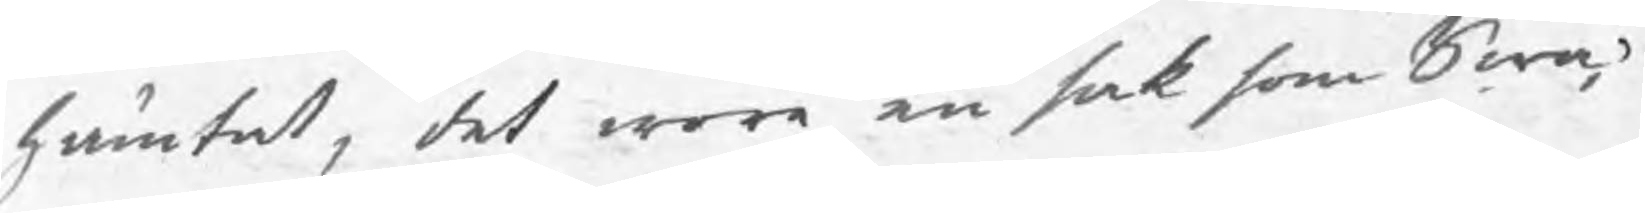hämtat, det wore en sak som Swa¬
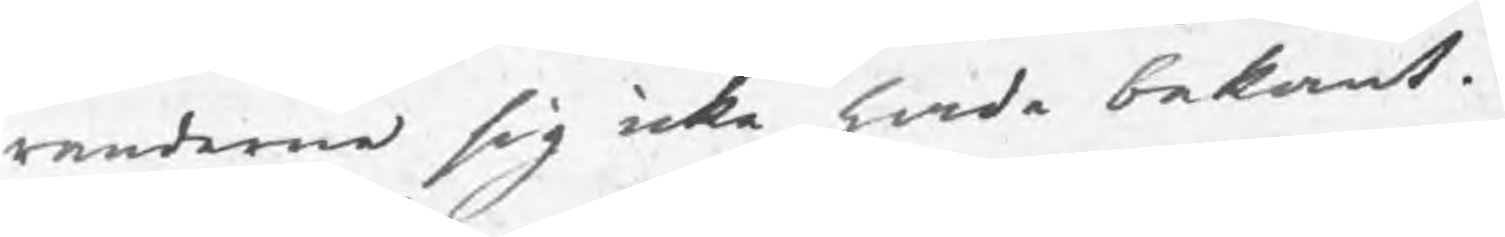randerne sig icke hade bekant.
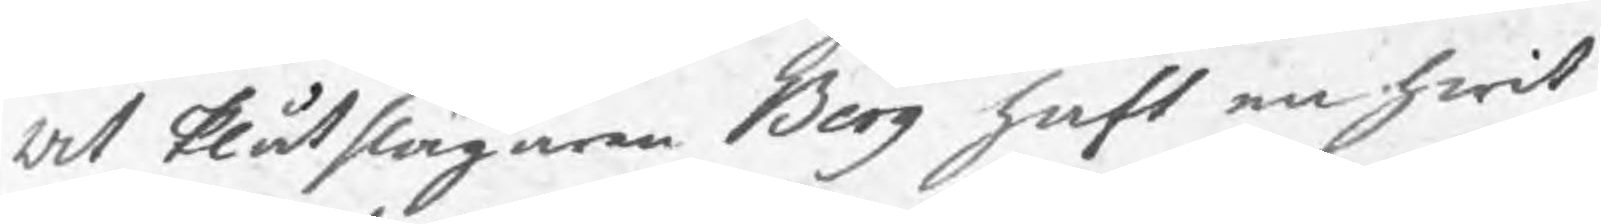At Plåtslagaren Berg haft en hwit
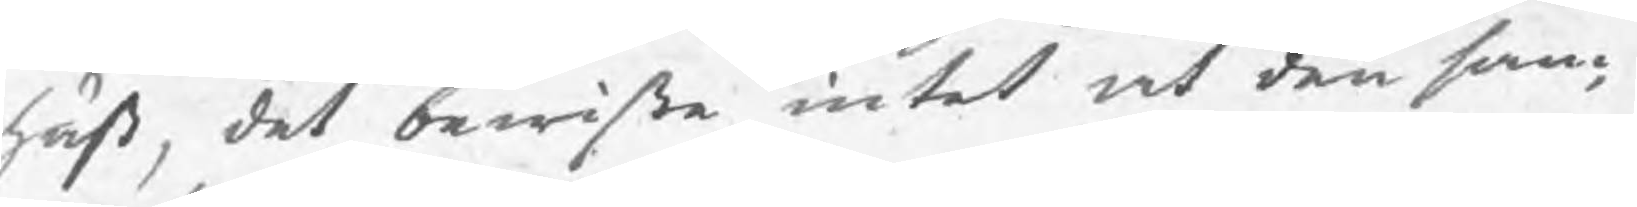häst, det bewiste intet at den sam¬
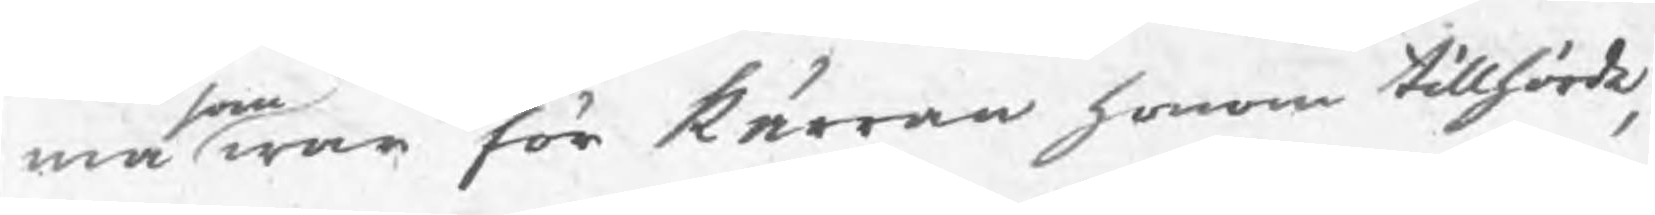ma som war för kärran honom tillhörde,
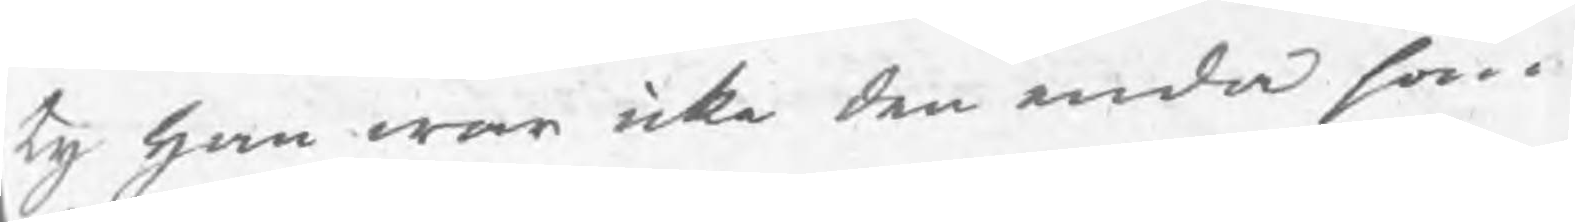ty han war icke den enda som
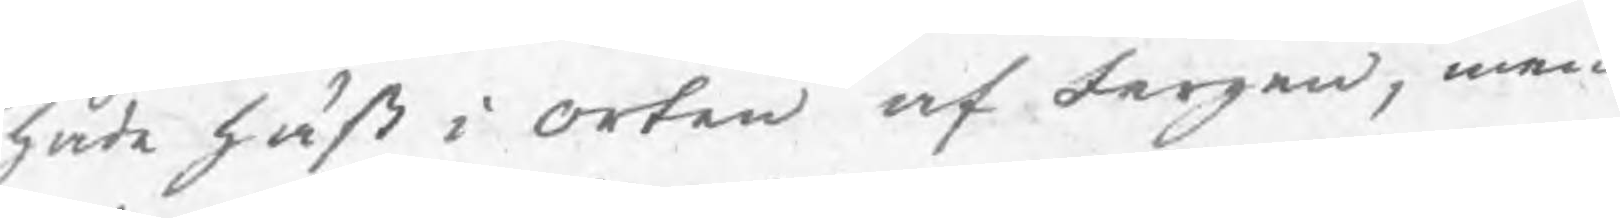hade häst i orten af fargen, men
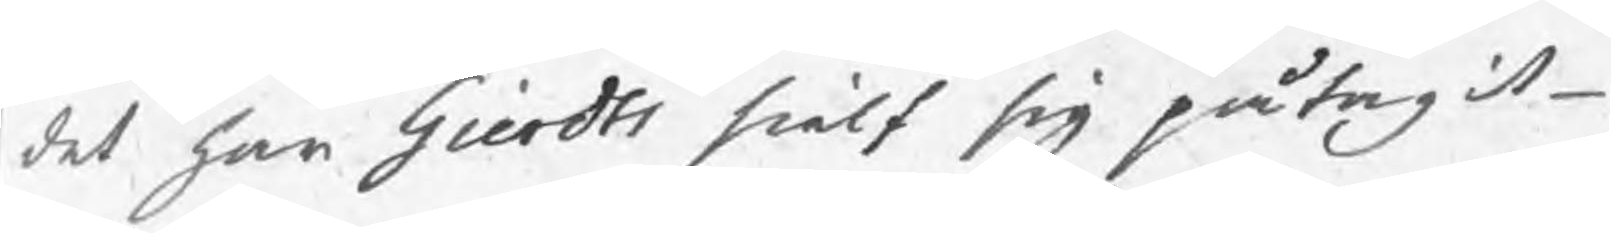det har Gierdts sielf sig påtagit
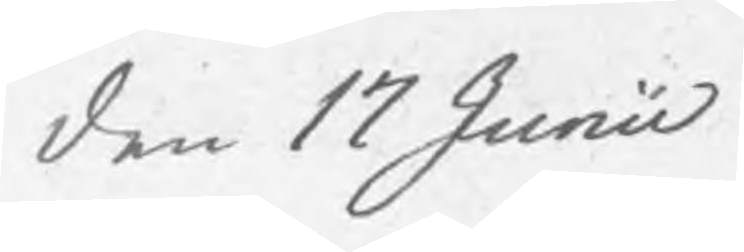den 17 Junii
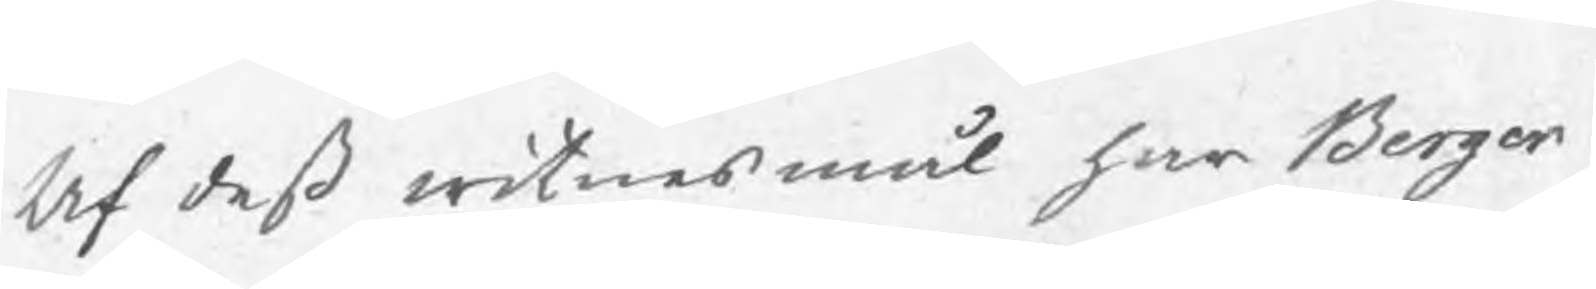Af deß witnesmål har Berger
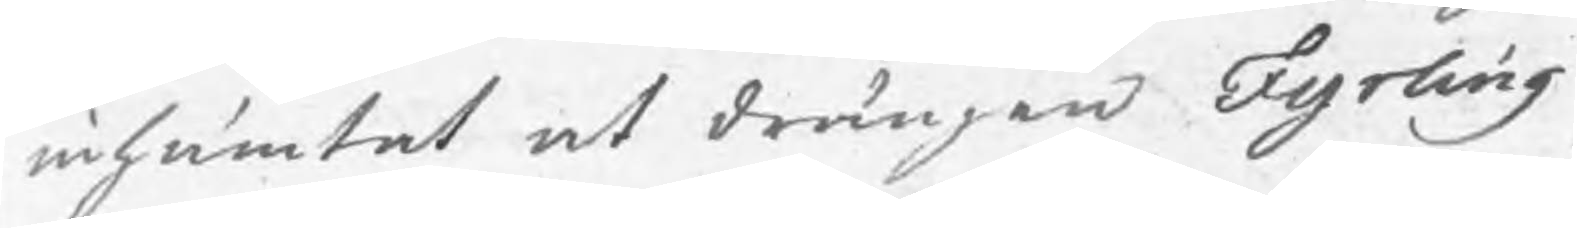inhämtat at drängen Fyrling
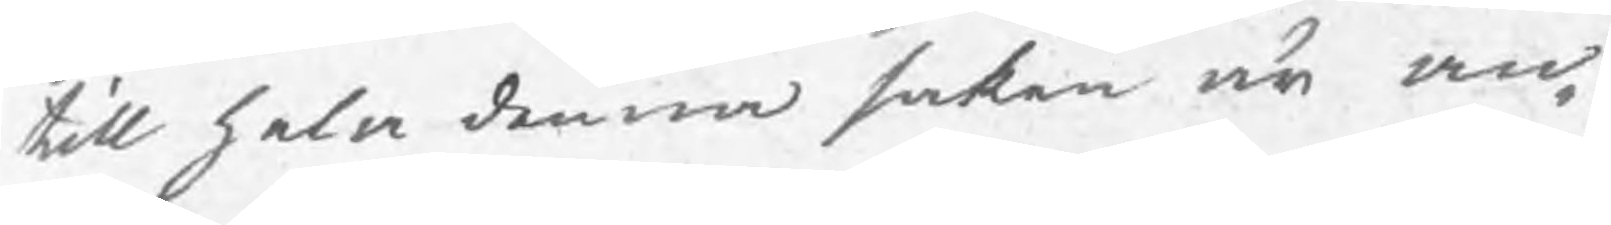till hela denna saken är an¬
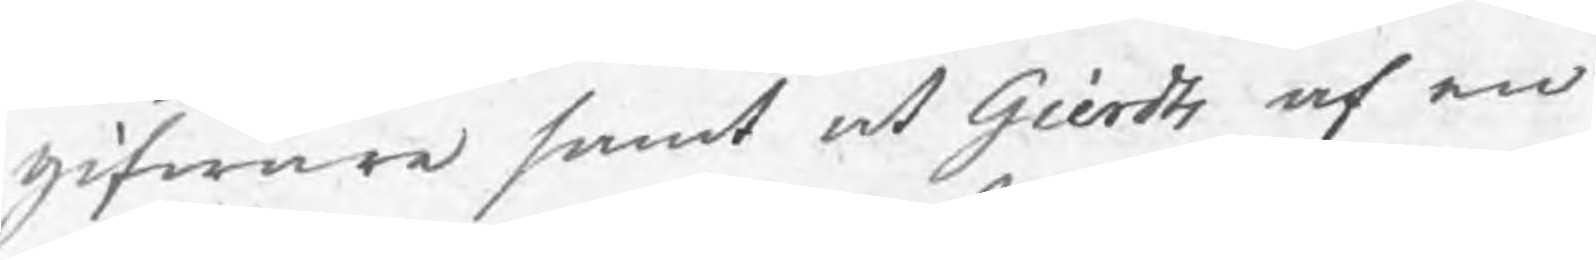gifware samt at Gerdts af en
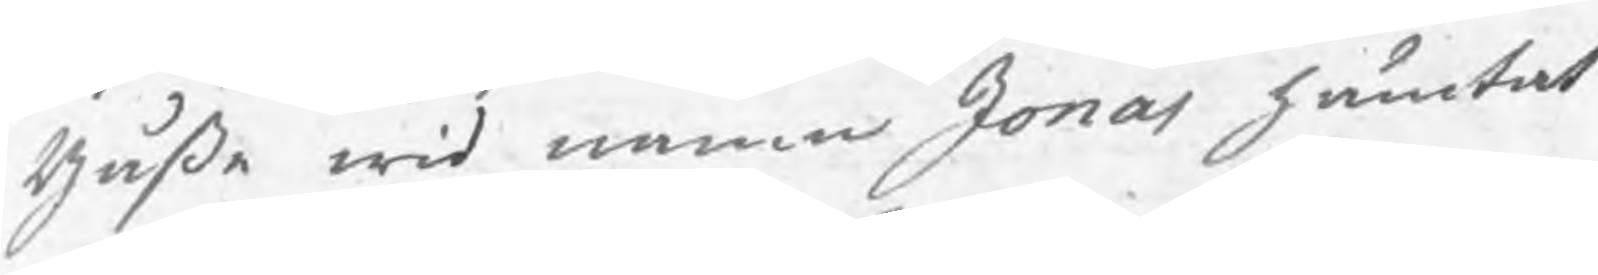gåße wid namn Jonas hämtat
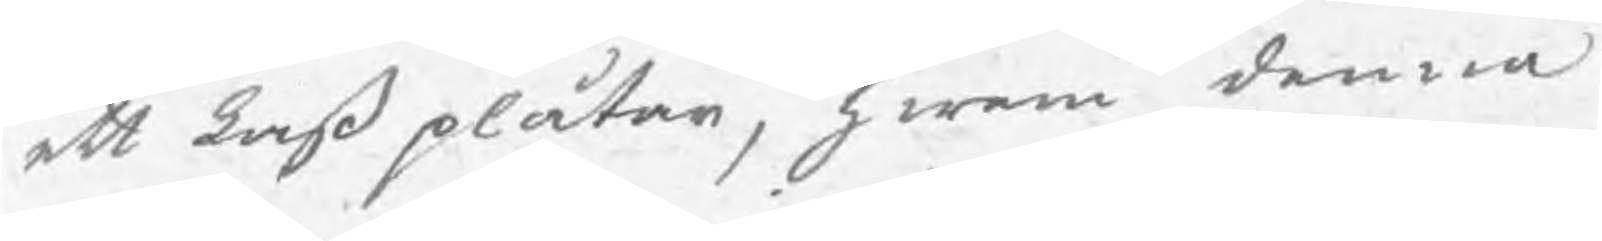ett Laß plåtar, hwem denna
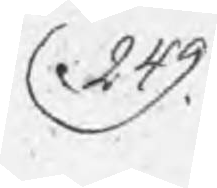249.
